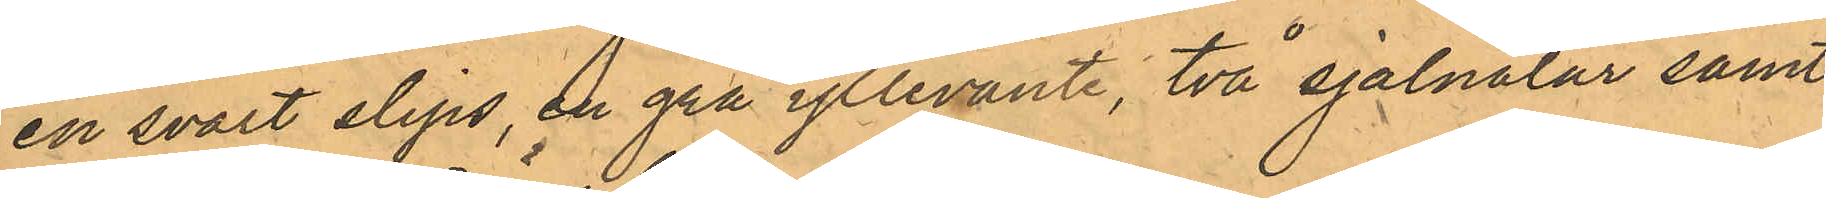en svart slips, en grå yllevante, två sjalnålar samt
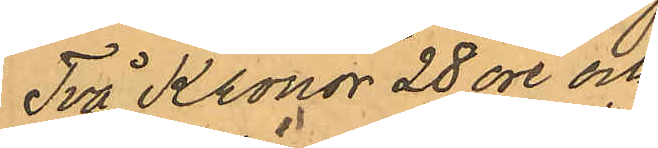Två Kronor 28 öre och
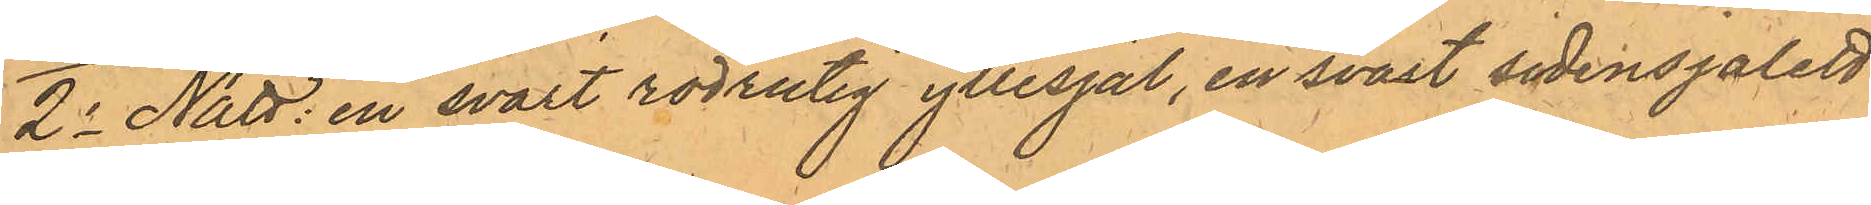2o Nätt: en svart rödrutig yllesjal, en svart sidensjalett
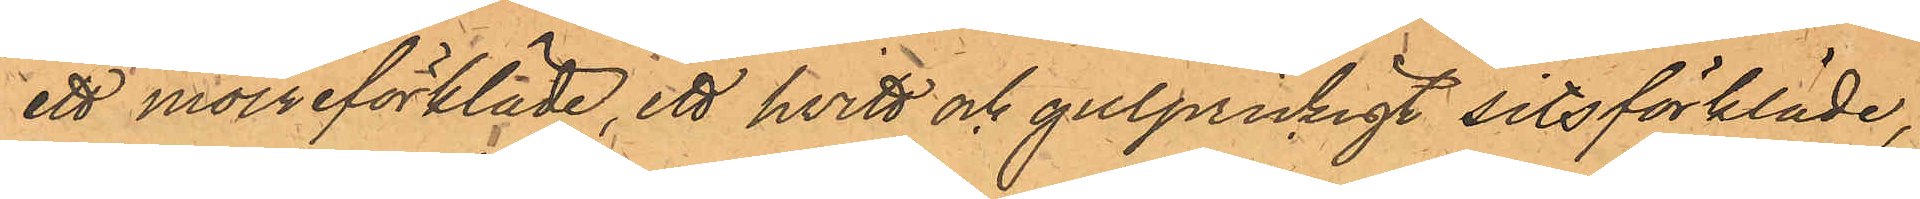ett moireförkläde, ett hvitt och gulprickigt sitsförkläde,
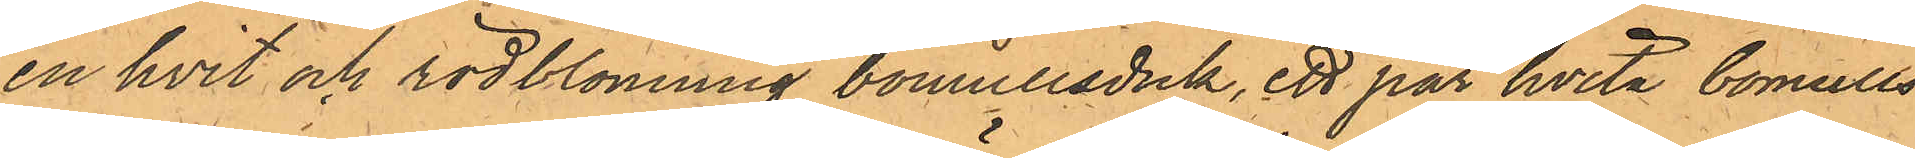en hvit och rödblommig bomullsduk, ett par hvita bomulls¬
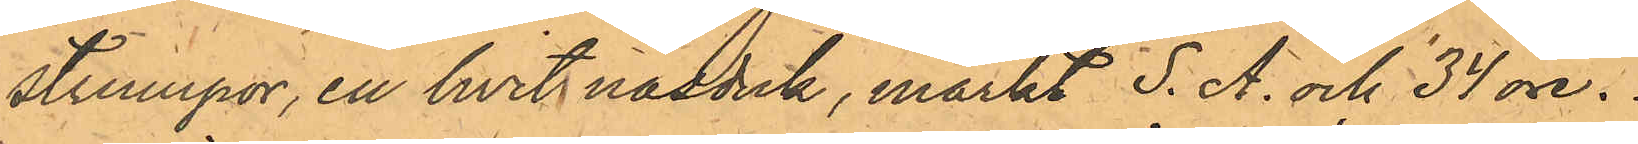strumpor en hvit näsduk, märkt S. A. och 34 öre.
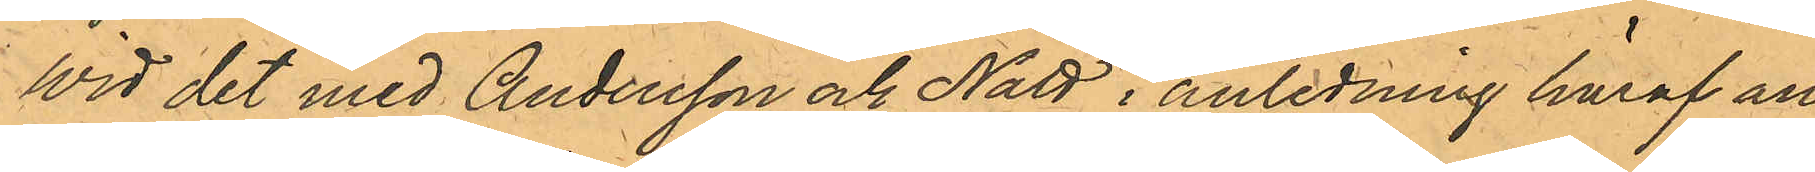Wid det med Andersson och Nätt i anledning häraf an¬
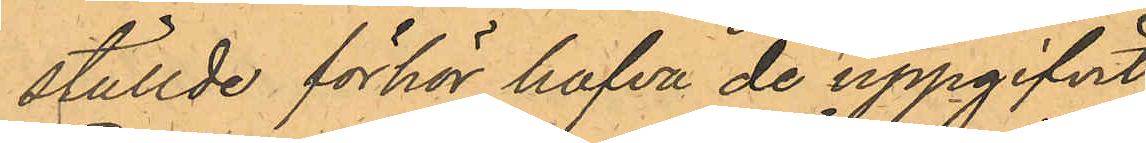ställde förhör hafva de uppgifvit
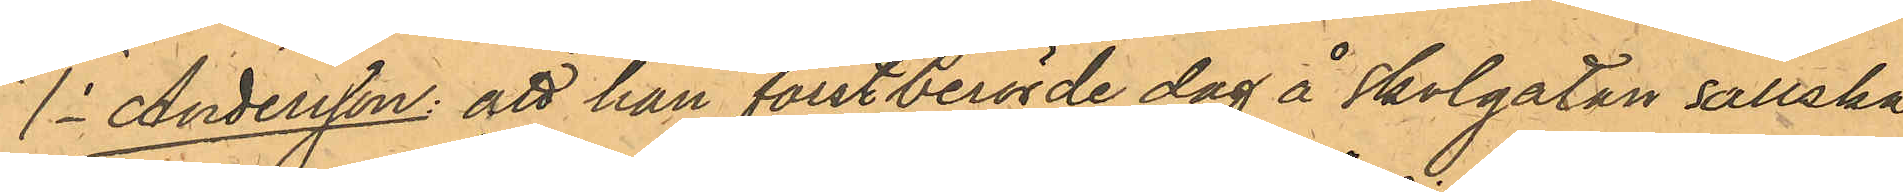1o Andersson: att han förstberörde dag å Skolgatan sällska¬
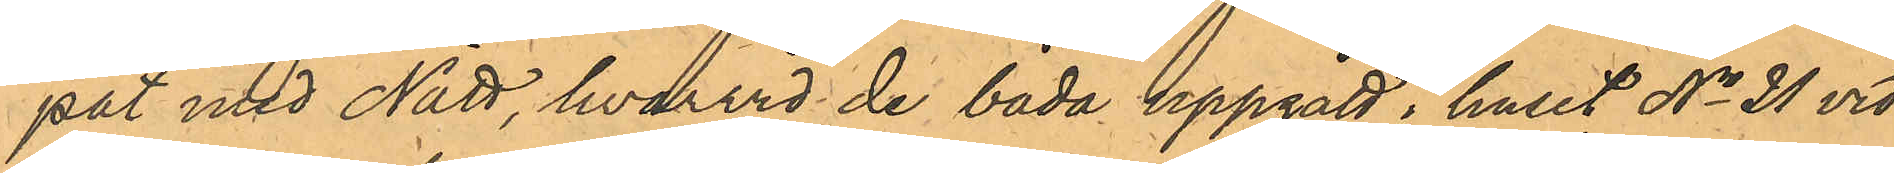pat med Nätt, hvarvid de båda uppgått i huset No 21 vid
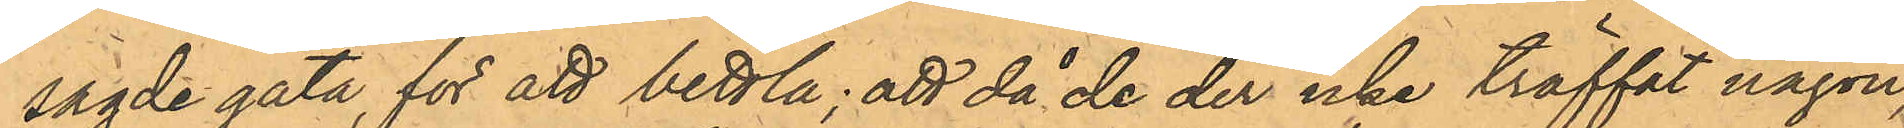sagde gata, för att bettla; att då de der icke träffat någon,
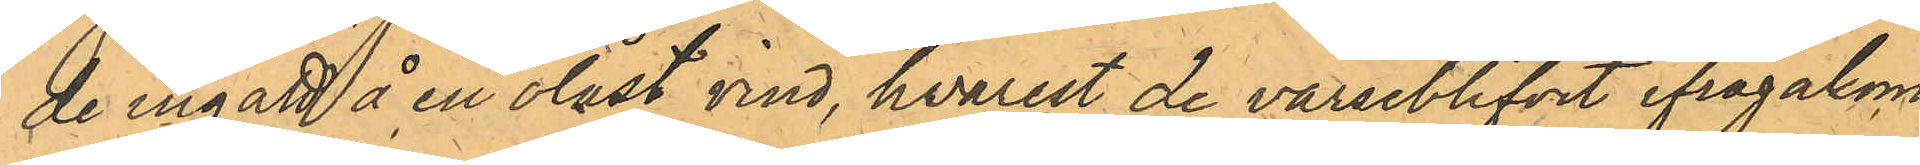de ingått å en olåst vind, hvarest de varseblifvit ifrågakom¬
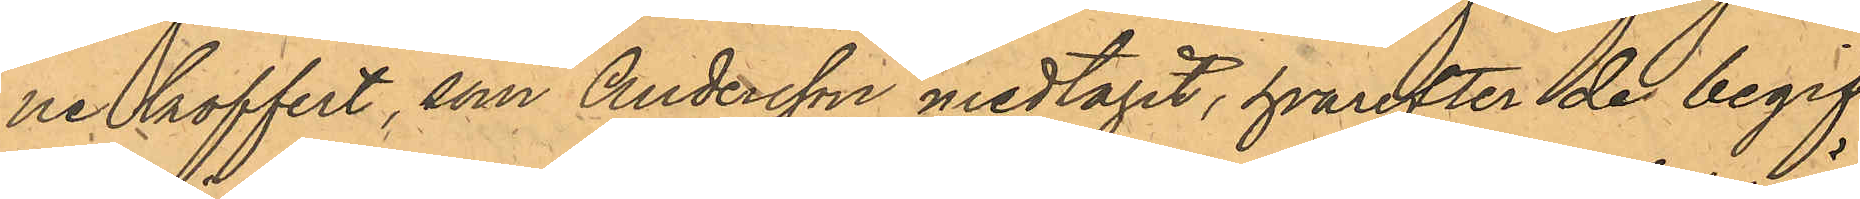ne koffert, som Andersson medtagit, hvarefter de begif¬
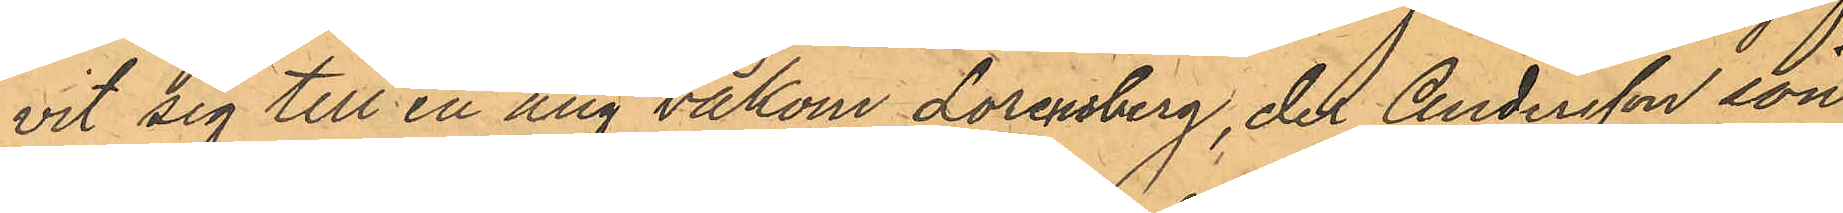vit sig till en äng bakom Lorensberg, der Andersson sön¬
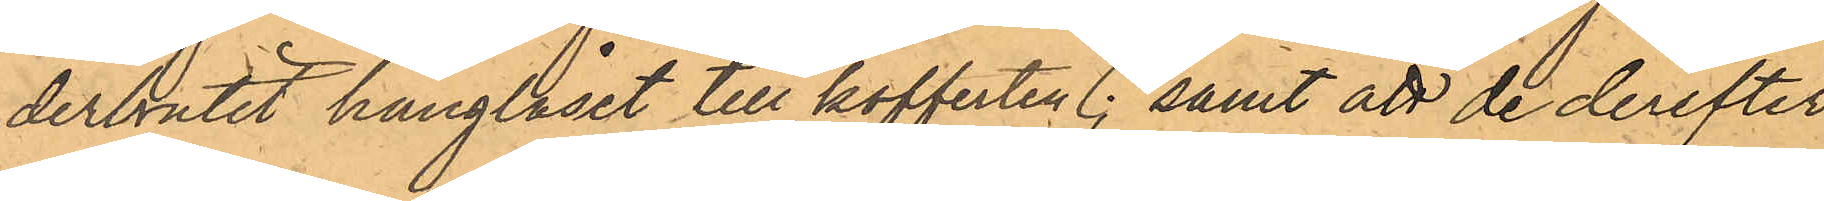derbrutit hänglåset till kofferten; samt att de derefter
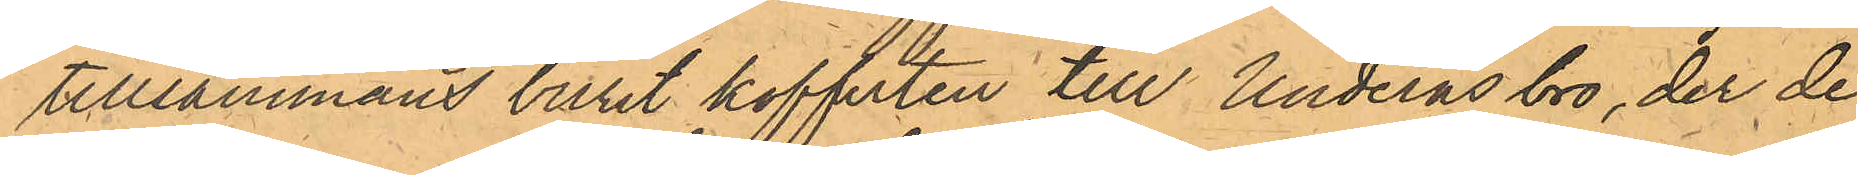tillsammans burit kofferten till Underås bro, der de
